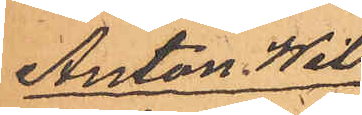Anton Wil¬
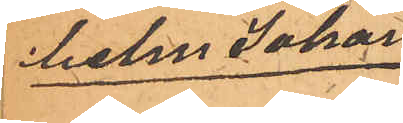helm Johan¬
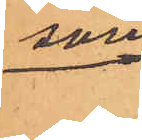son
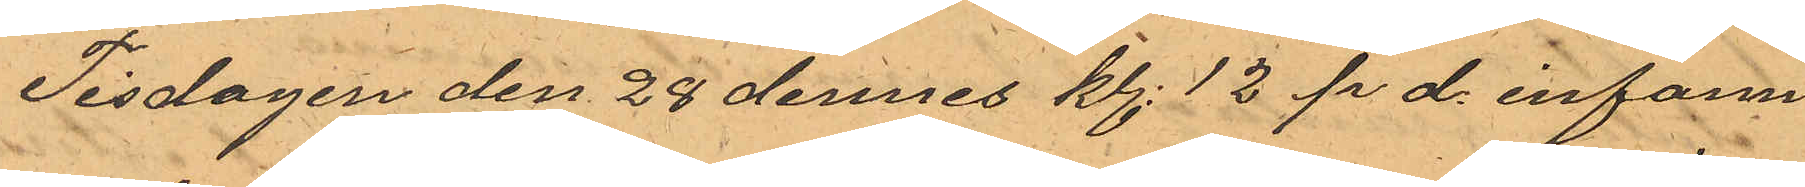Tisdagen den 28 dennes kl. 12 p d. infann
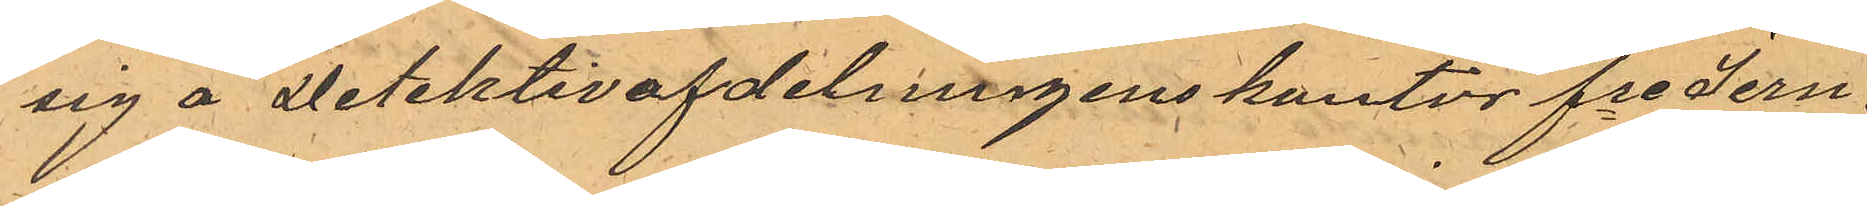sig å Detektivafdelningens kontor fre Jern¬
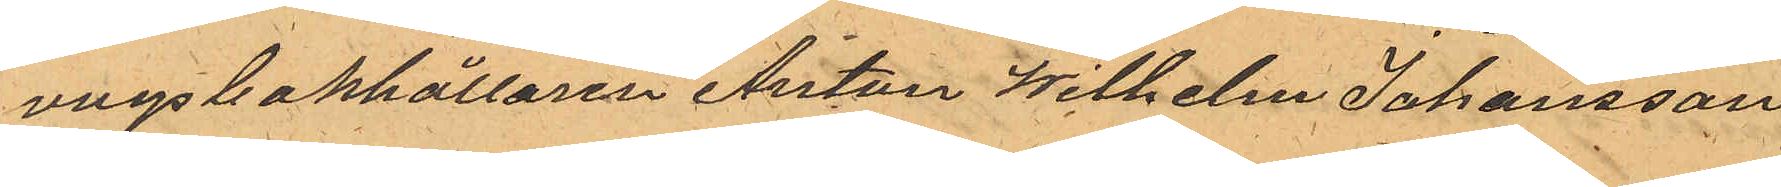vägsbokhållaren Anton Wilhelm Johansson
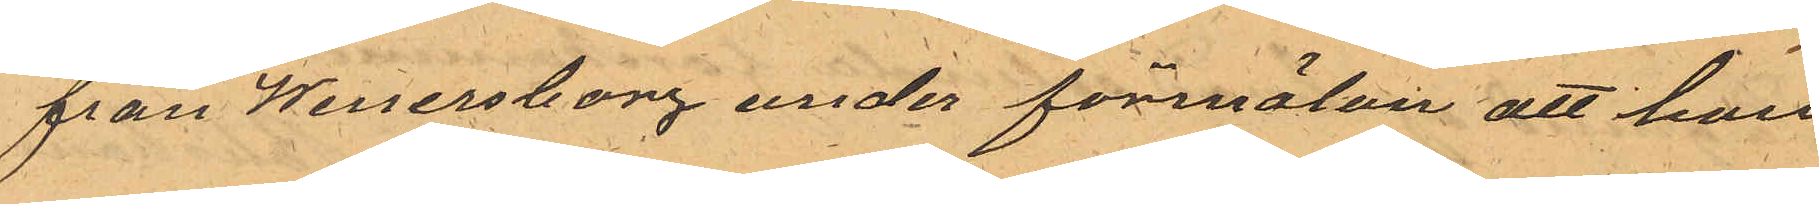från Wenersborg under förmälan att han
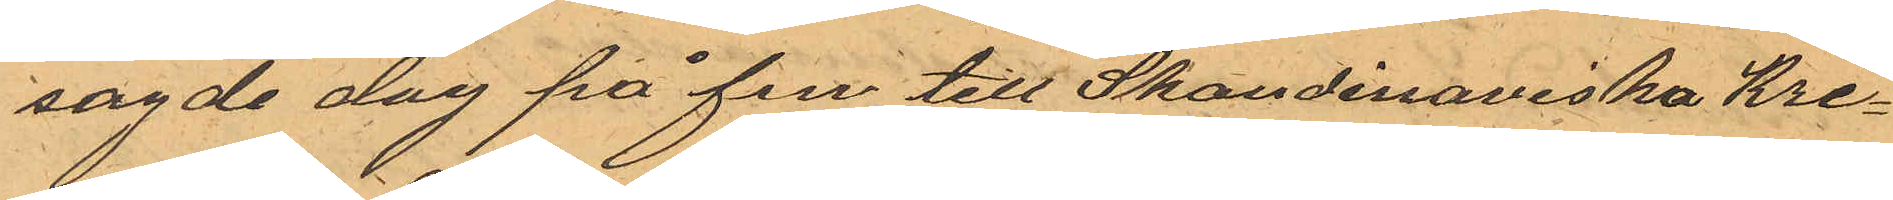sagde dag på fm till Skandinaviska Kre¬
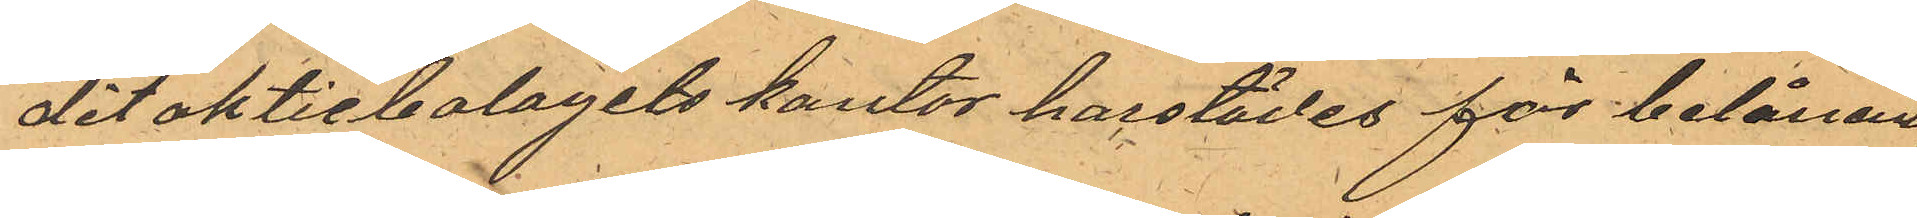dit aktiebolagets kontor härstädes för belåning
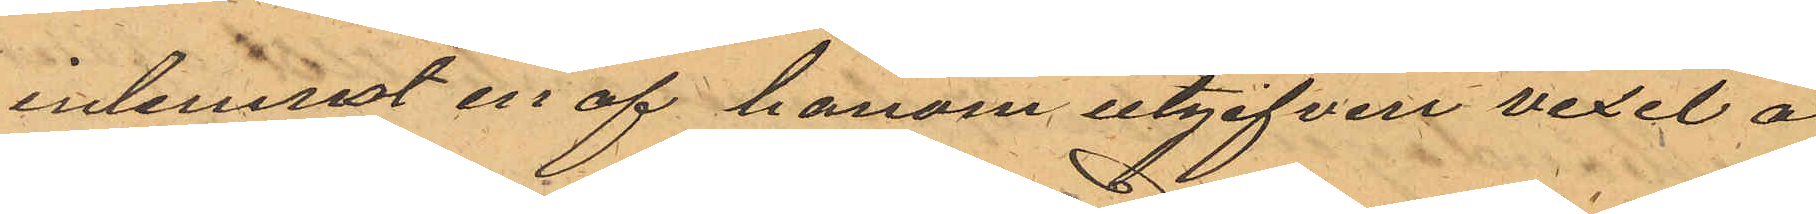inlemnat en af honom utgifven vexel å
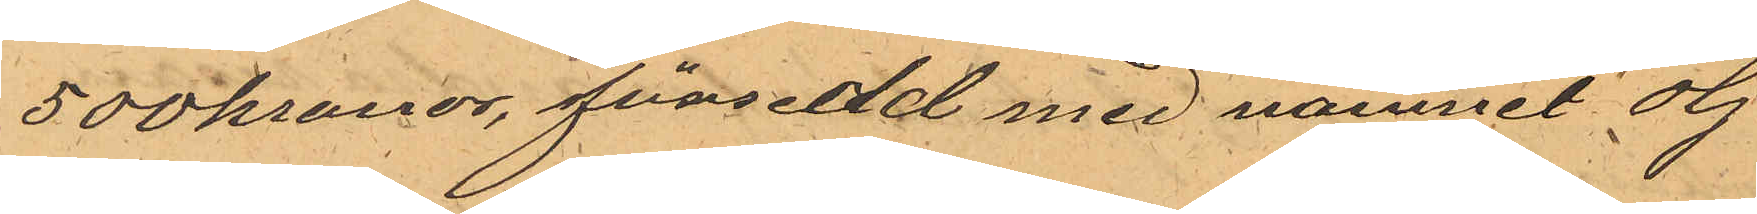500 kronor, försedd med namnet Hj
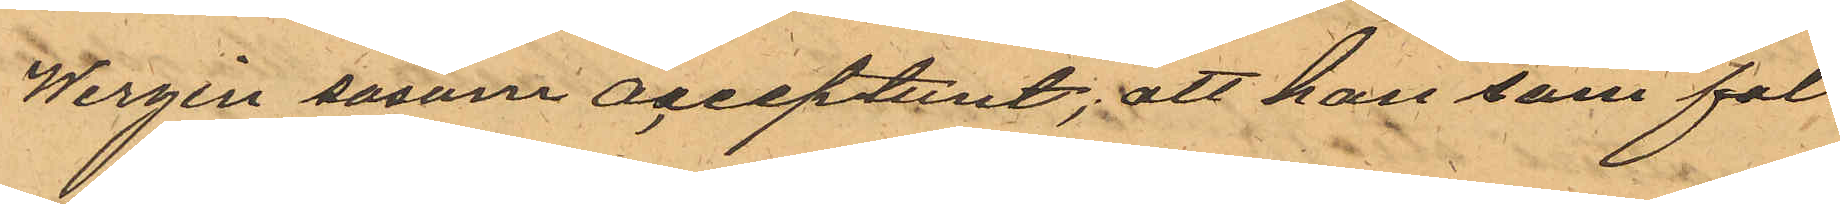Wirgin sasom acceptunt; att han som fal¬
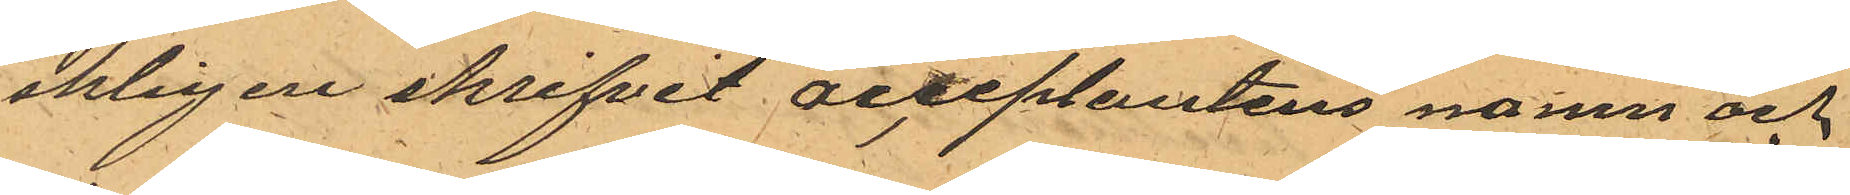skligen skrifvit acceptantens namn och
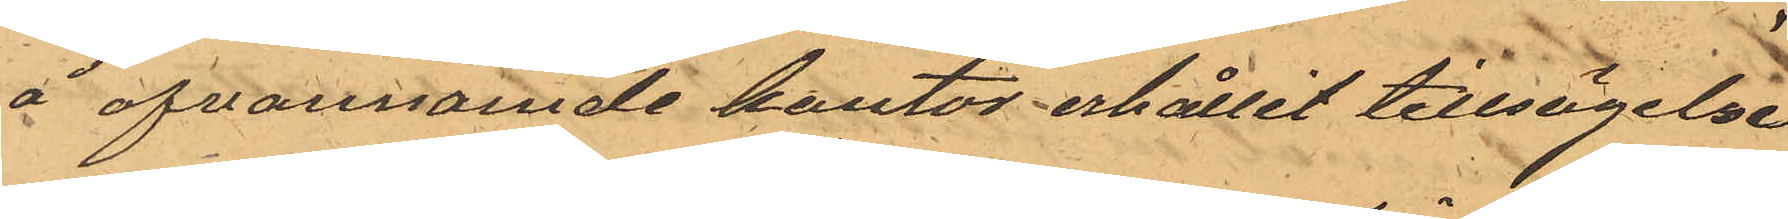å ofvannamde kontor erhållit tillsägelse
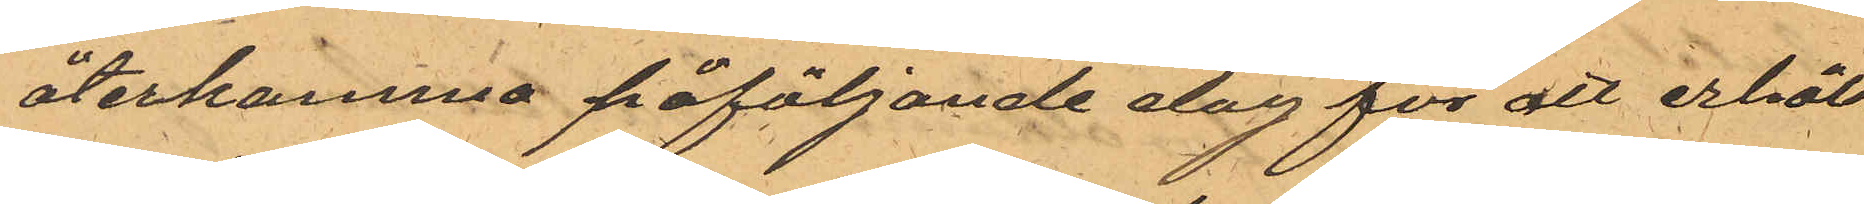återkomma påföljande dag för att erhåll¬
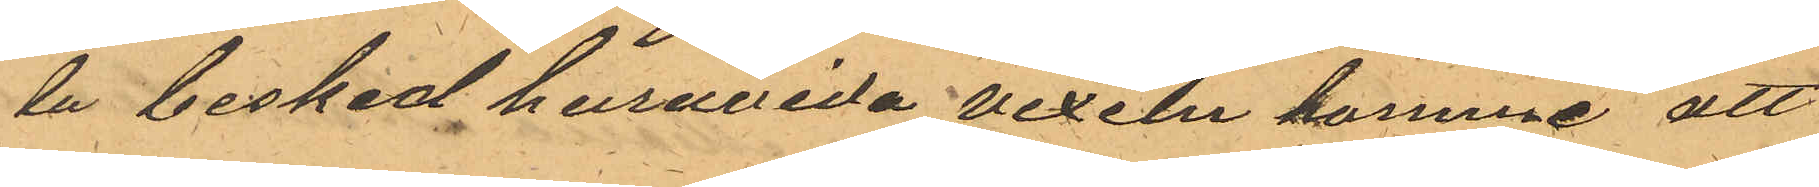la besked huruvida vexeln komme att
